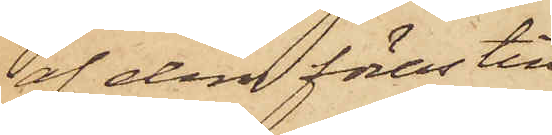af dem föras till
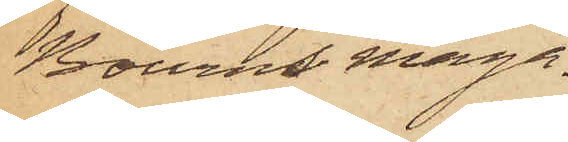Bourns maga¬
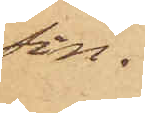sin,
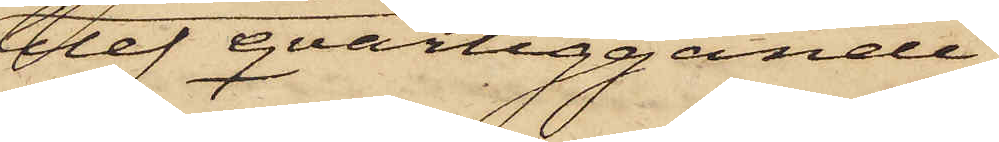blef qvarliggande
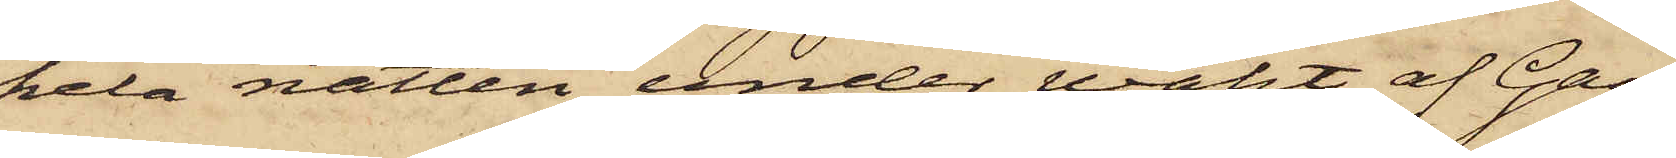hela natten under wakt af Gan,
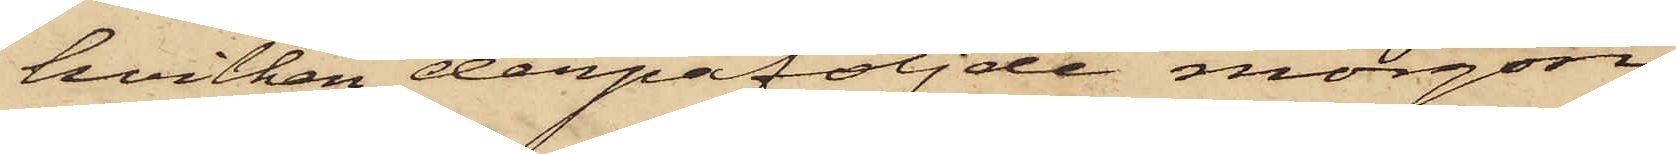hvilken derpåföljde morgon
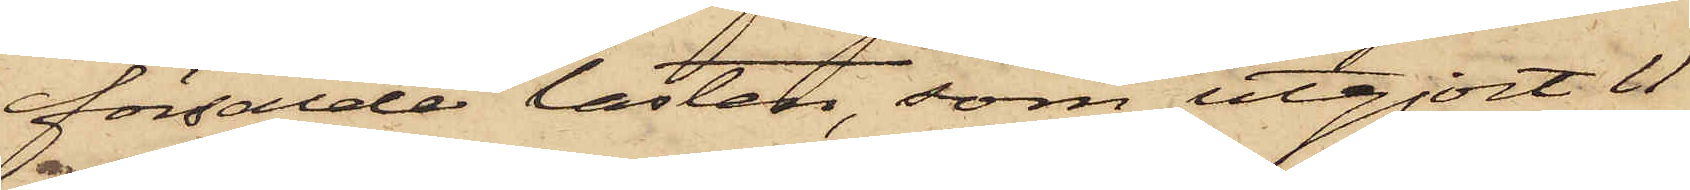försålde lasten, som utgjort 11
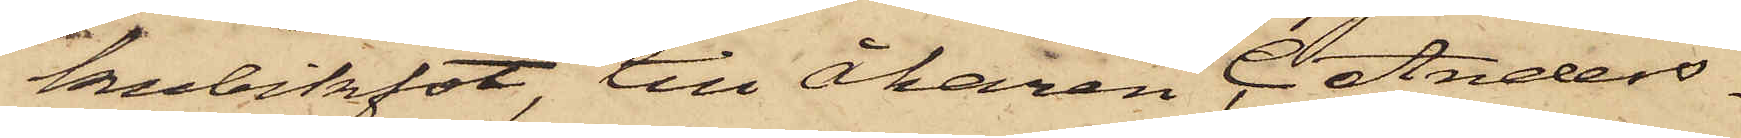kubikfot till Åkaren C. Anders¬
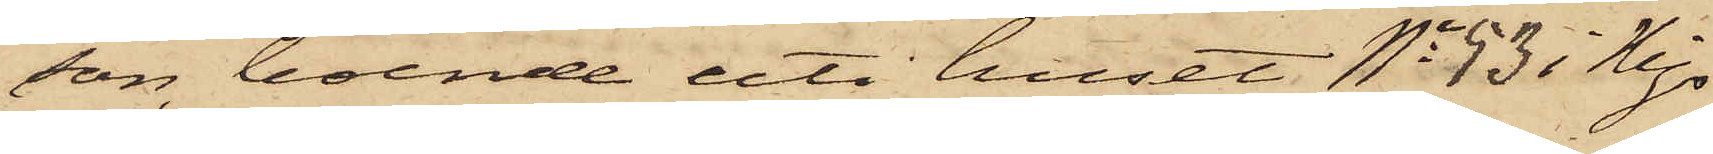son, boende uti huset No 53 i Mjs
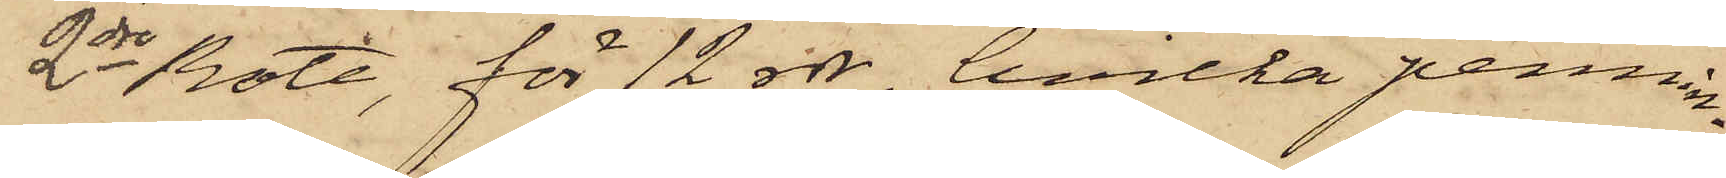2dre Rote, för 12 rdr, hvilka pennin¬
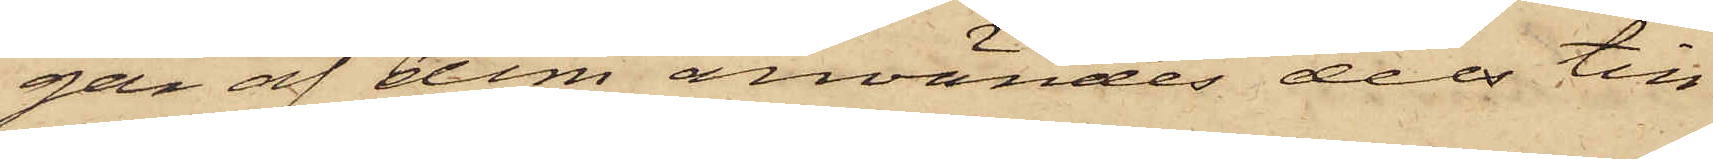gan af dem användes dels till
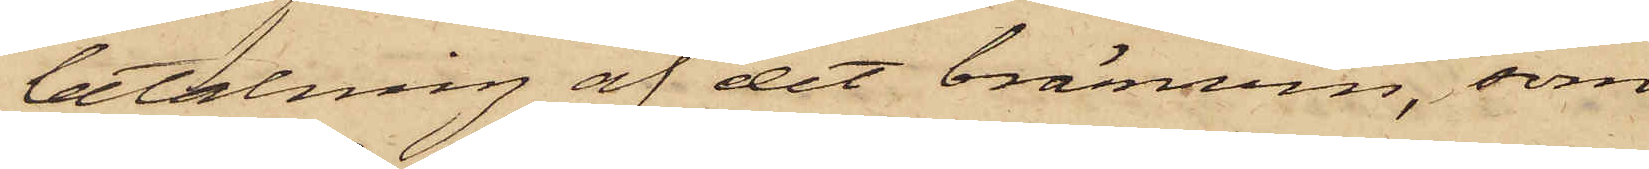betalning af det bränvin, som
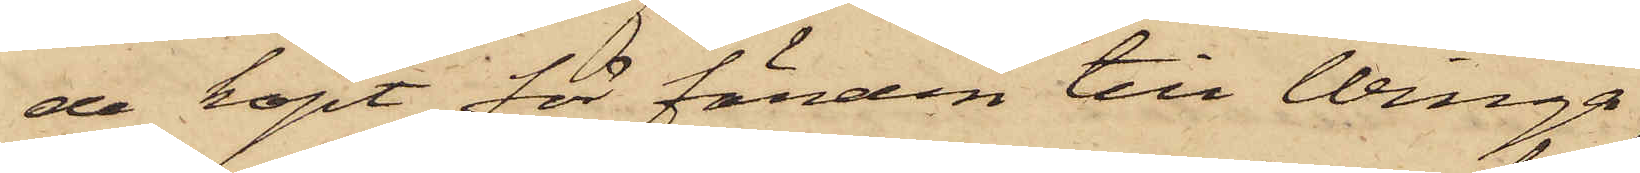de köpt för färden till Winga
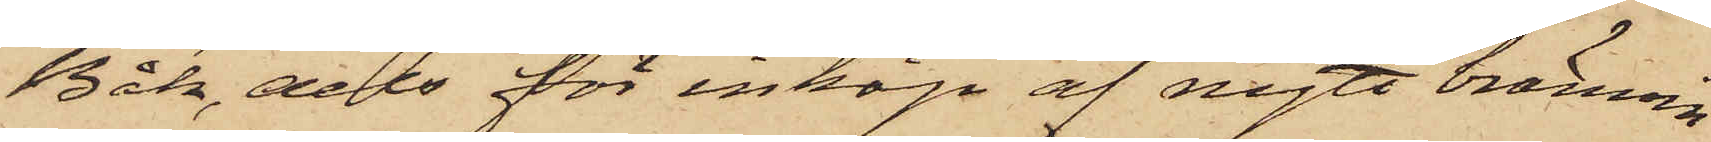Båk, dels för inköp af nytt bränvin.
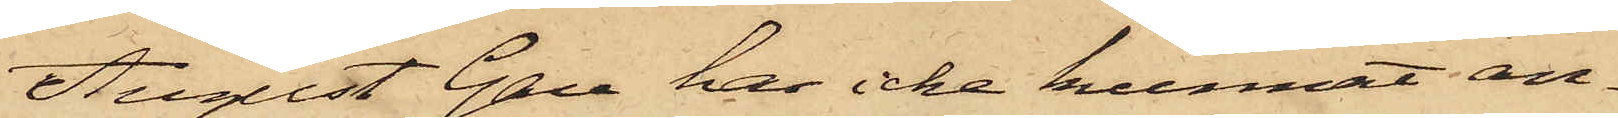August Gan hos icke kunnat an¬
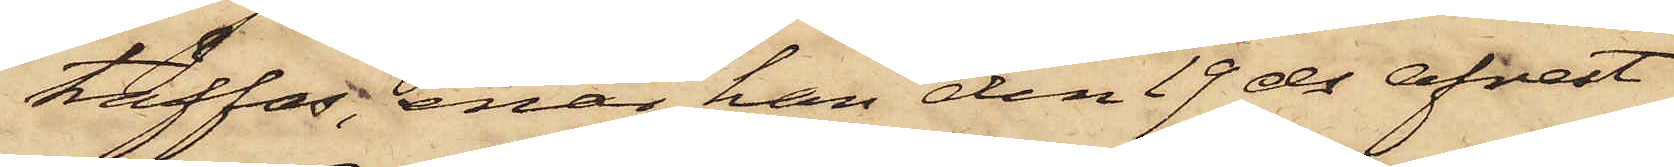träffas, enär han den 19 ds afrest
